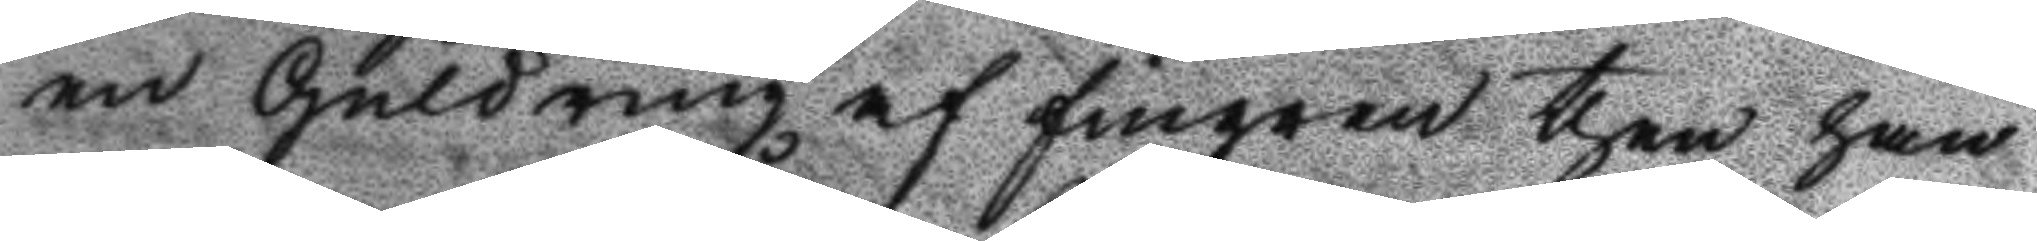en Guldring af fingret then han
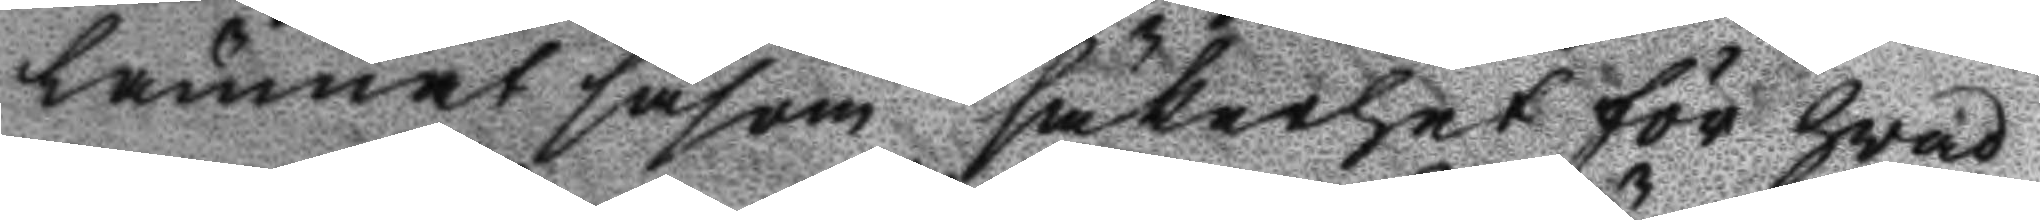lmnat såsom säkerhet för hvad
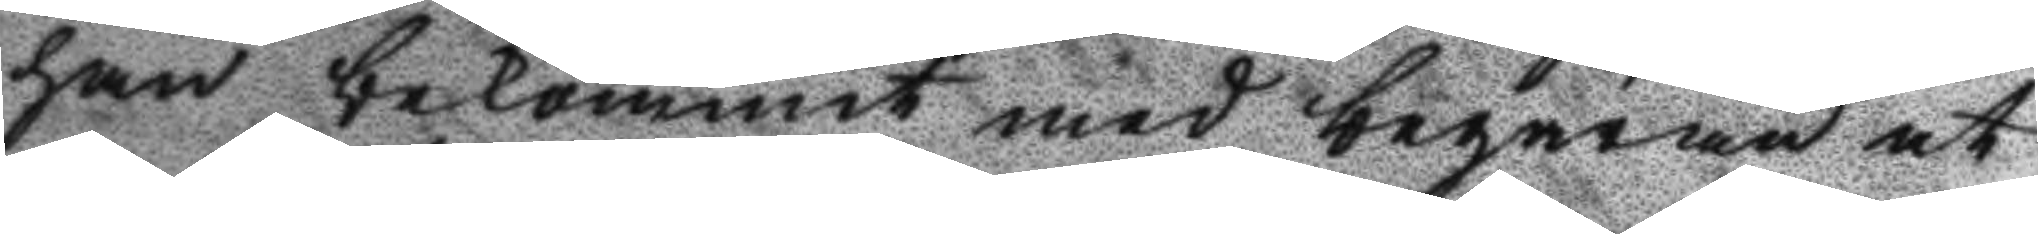han bekommit med begäran at
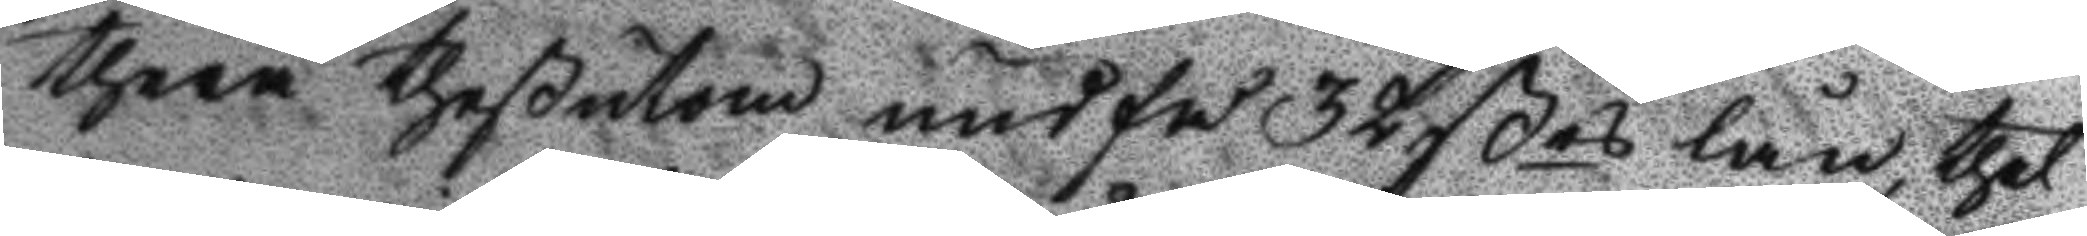therå theßutom undfå 32 ßes lån, thet
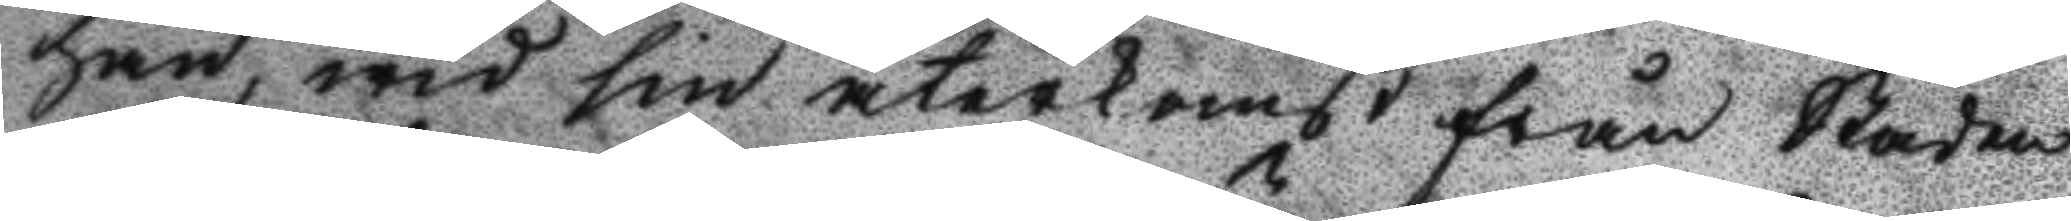han, wid sin återkomst från Staden
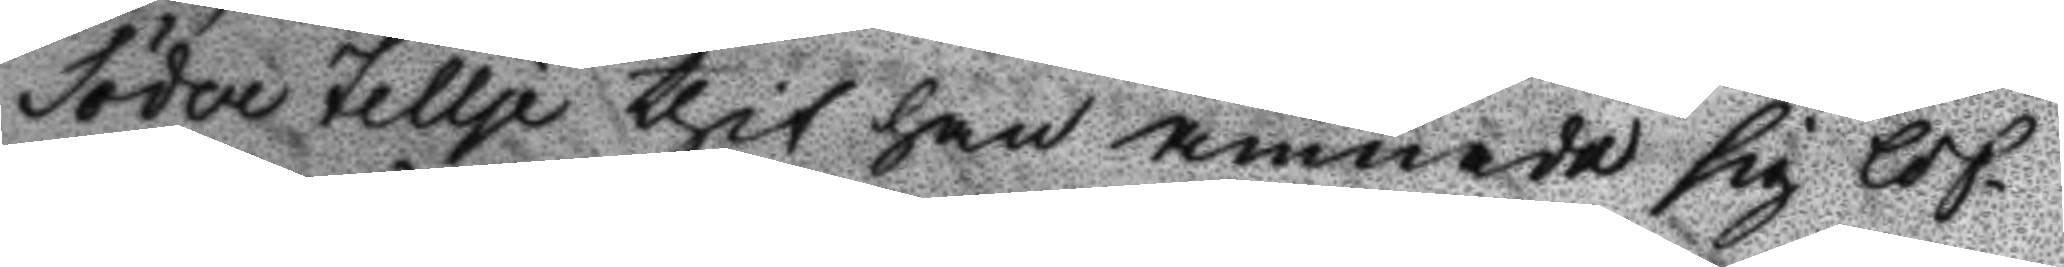Söder Tellje thit han ämnade sig lof¬
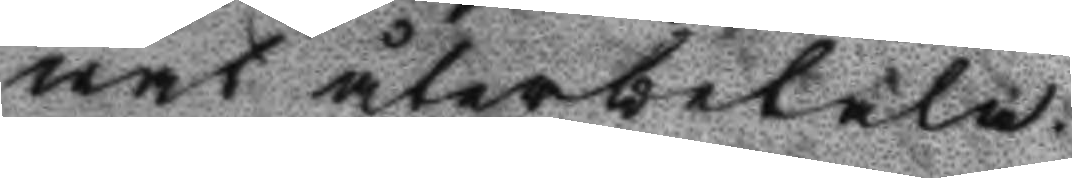vat återbetala.
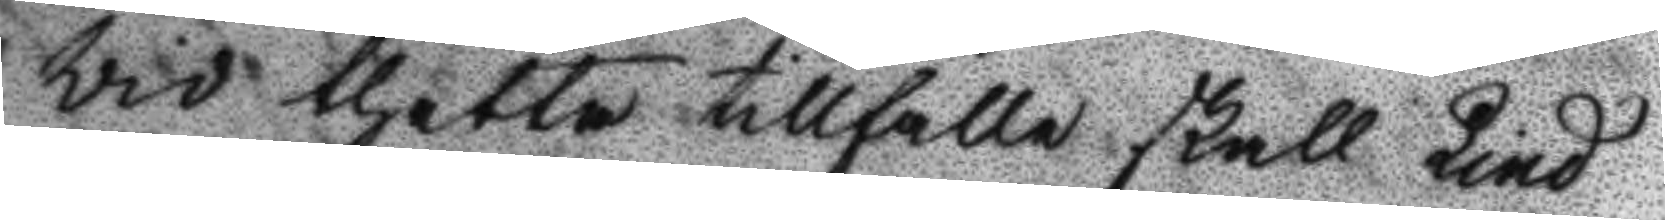Vid thetta tillfälle skall Lind
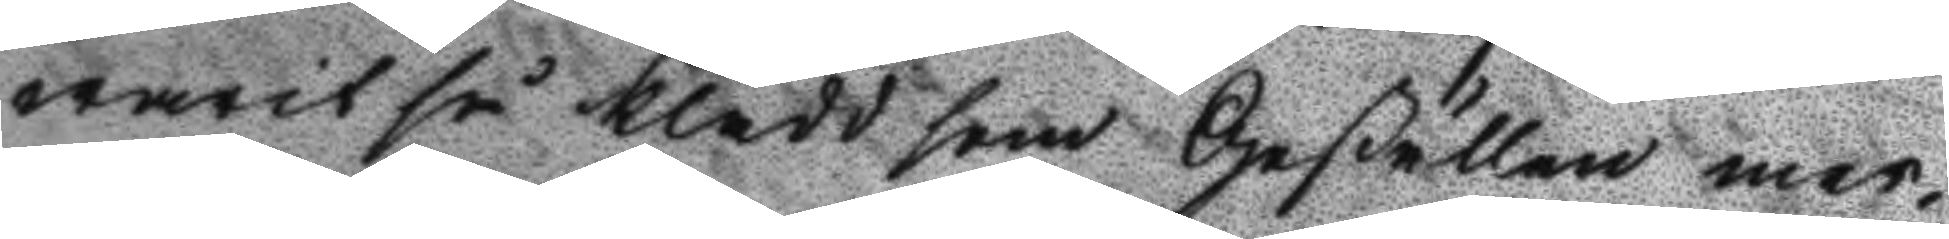warit så klädd som Geßällen mer¬
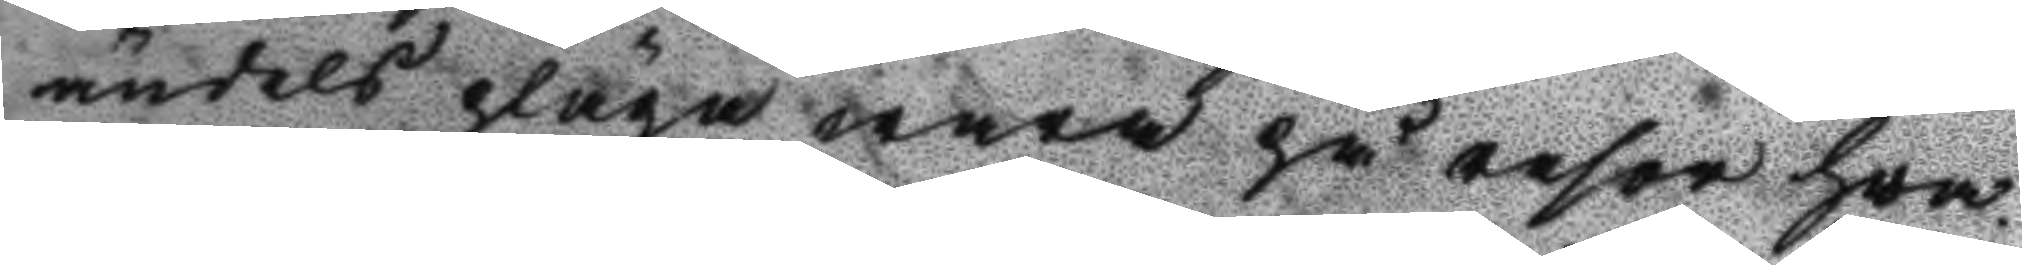ändels pläga wara på resor hva¬
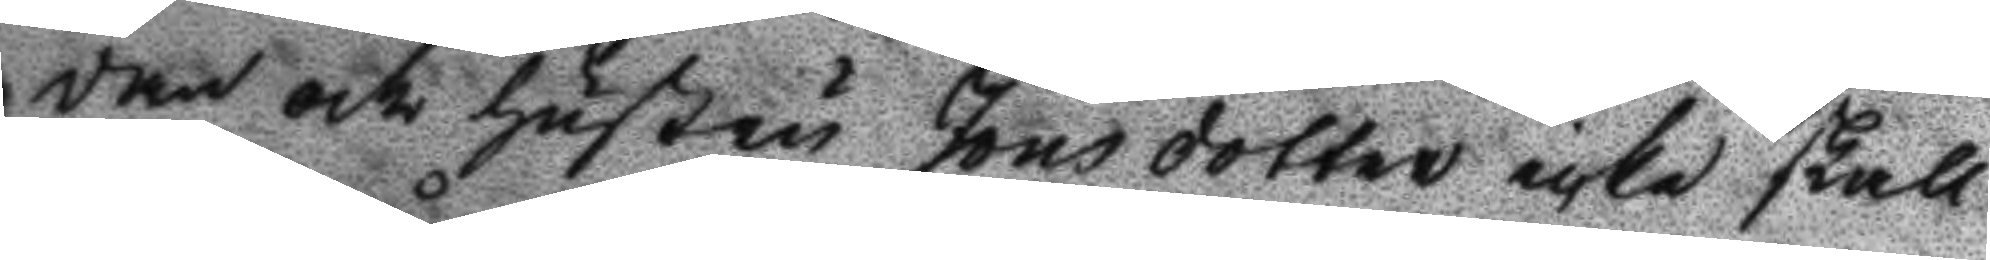dan och hustru Jönsdotter icke skall
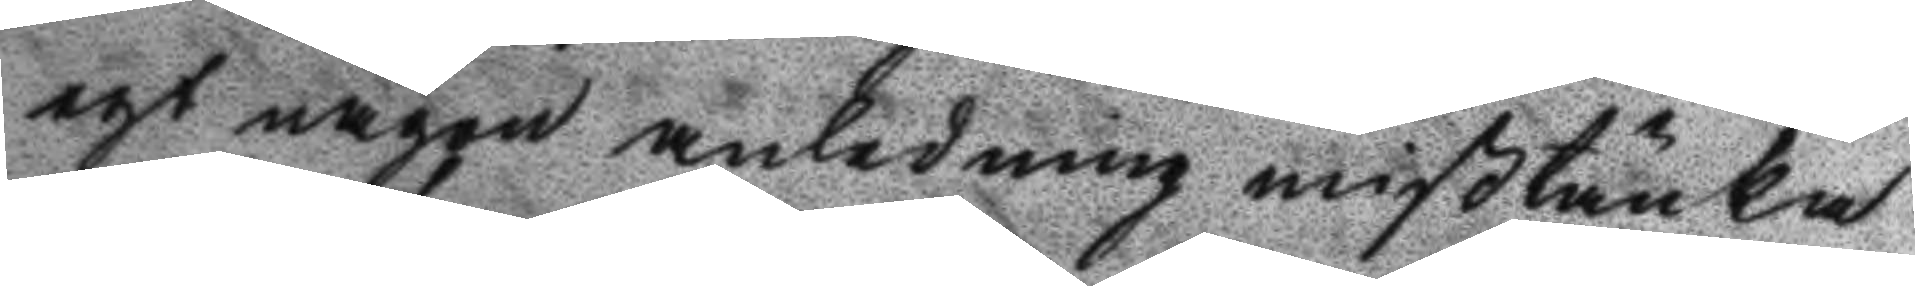egt någon anledning mißtänka
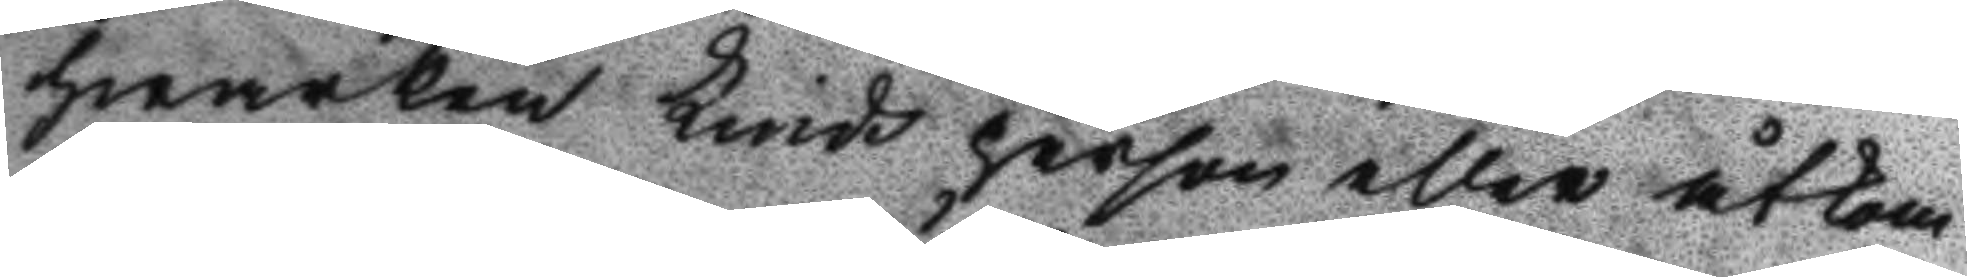hwarken Linds person eller åtkom¬
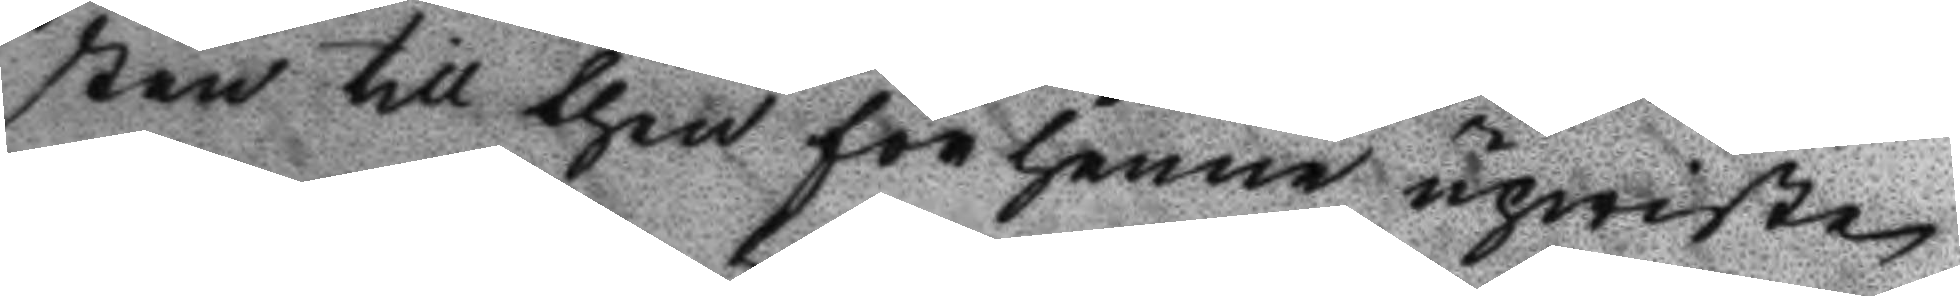sten till then för henne upwiste
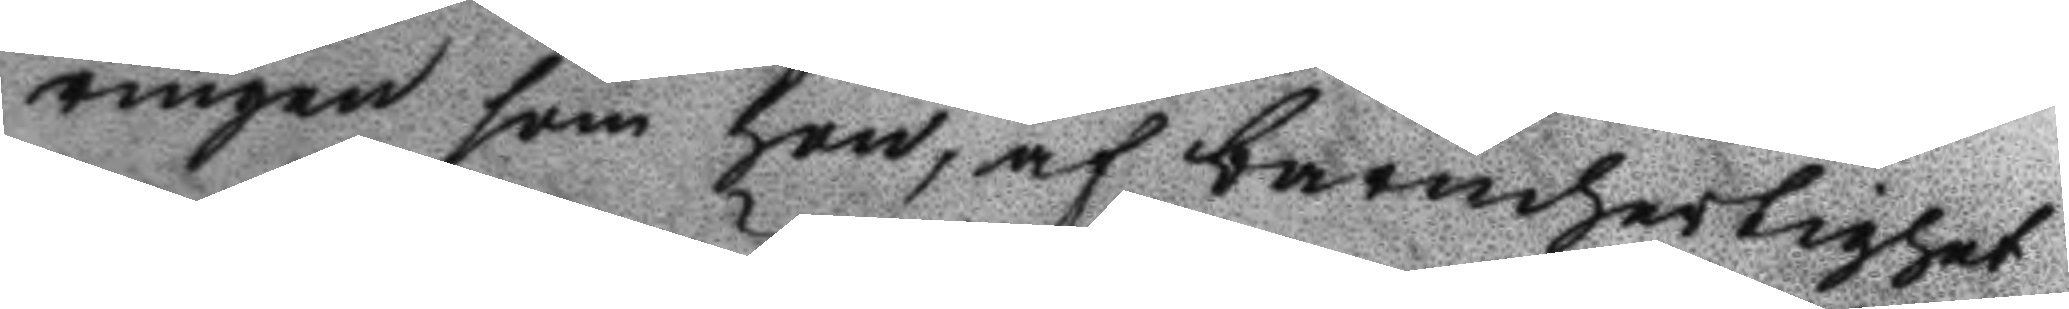ringen som hon, af barmhertighet
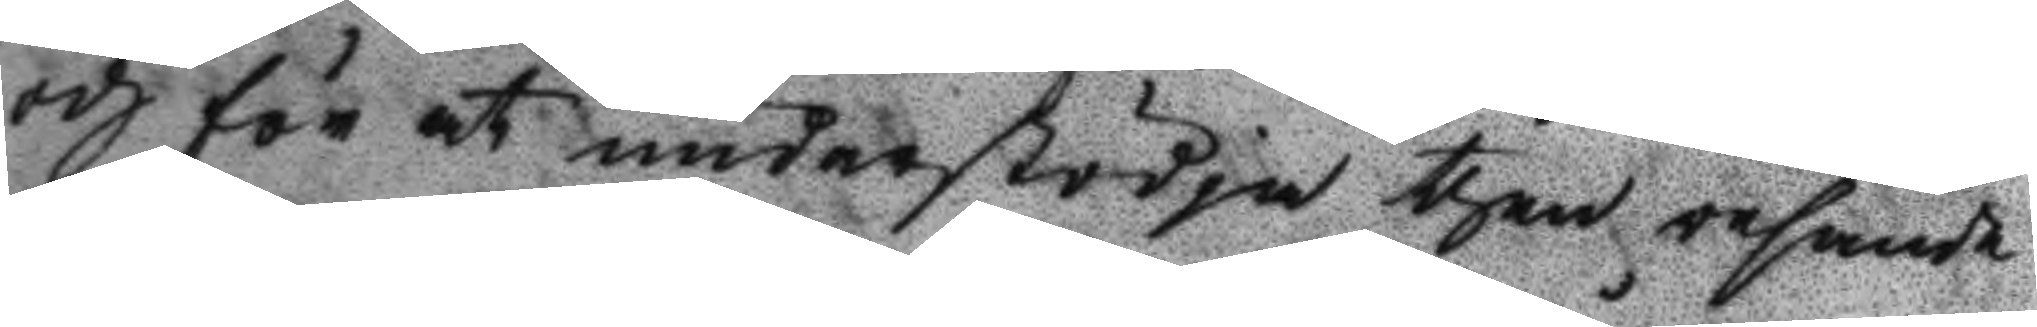och för at understödja then resande
